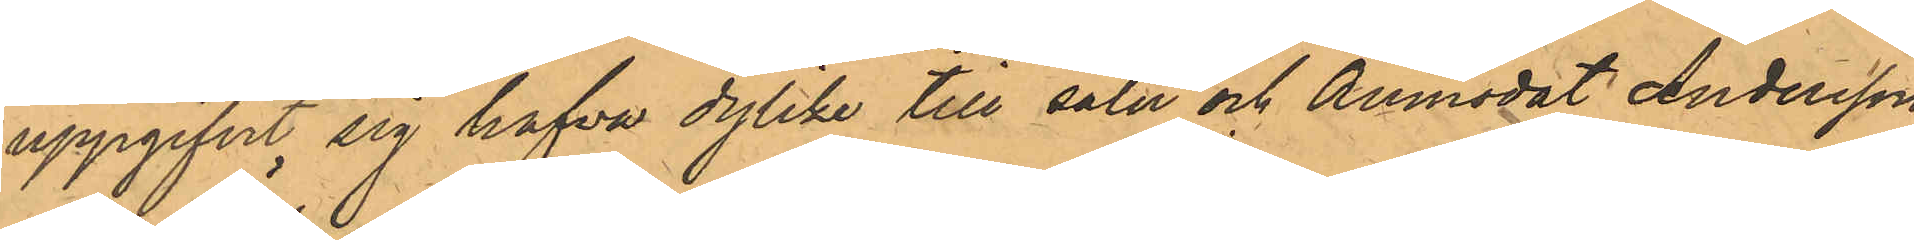uppgifvit sig hafva dylike till salu och anmodat Andersson
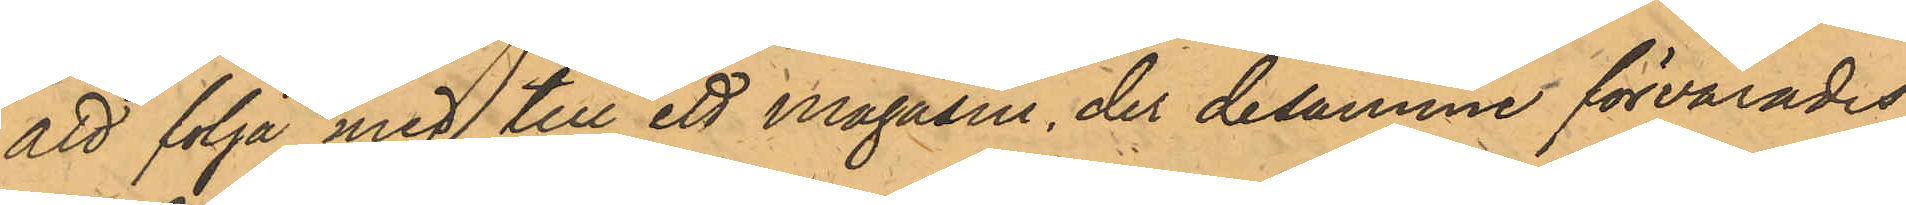att följa med till ett magasin, der desamme förvarades;
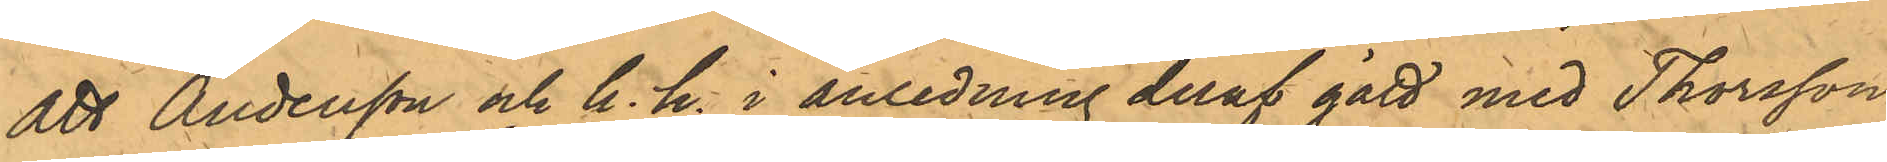Att Andersson och h.h. i anledning deraf gått med Thorsson
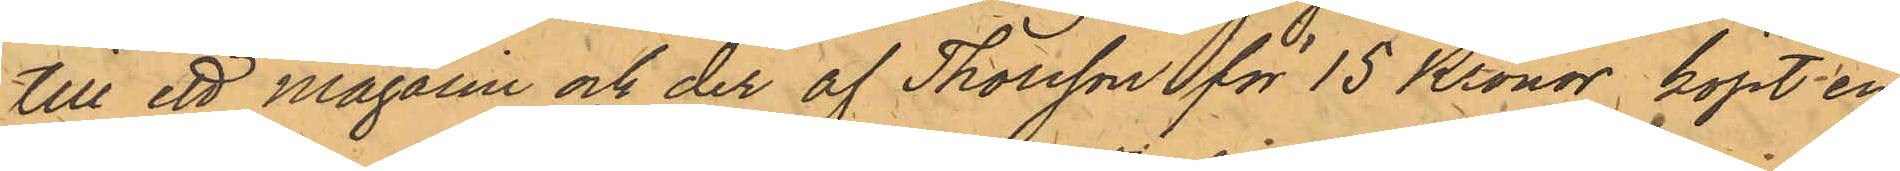till ett magasin och der af Thorsson för 15 Kronor, köpt en
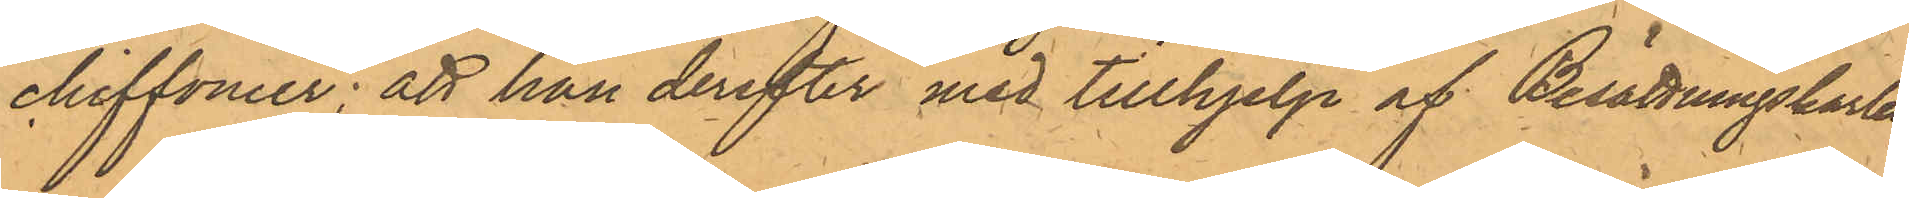chiffonier; att han derefter med tillhjelp af Besättningskarlen
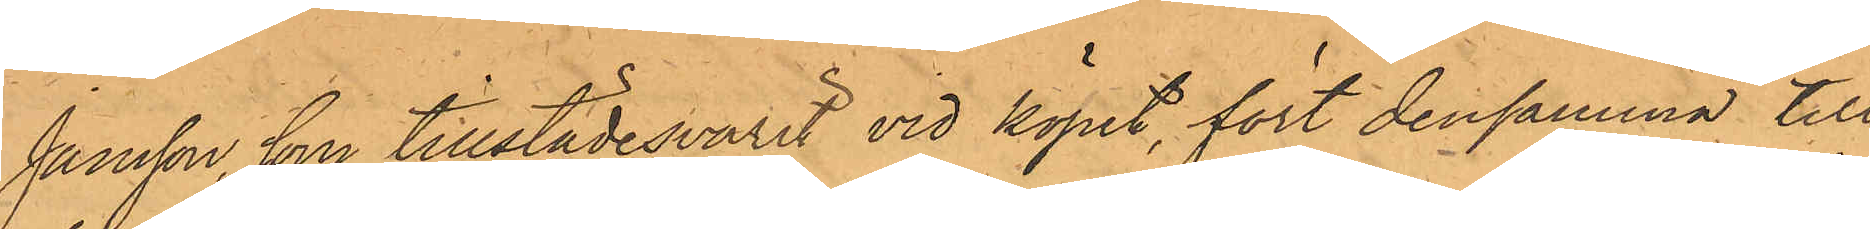Jansson, som tillstädesvarit vid köpet, fört densamma till
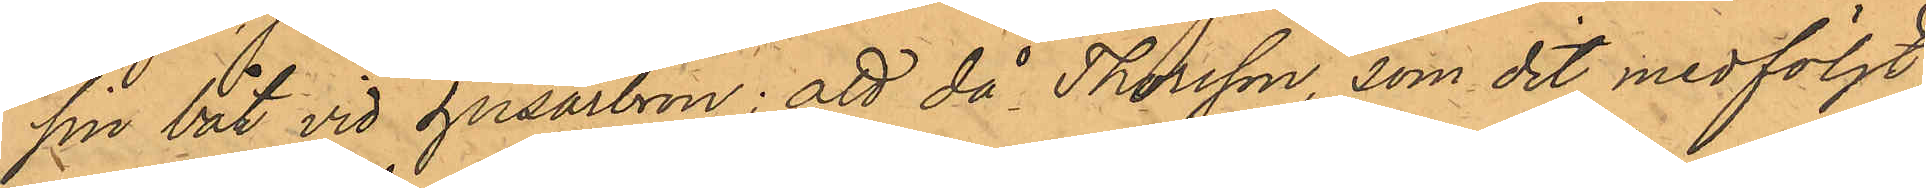sin båt vid Husarbron; att då Thorsson, som dit medföljt,
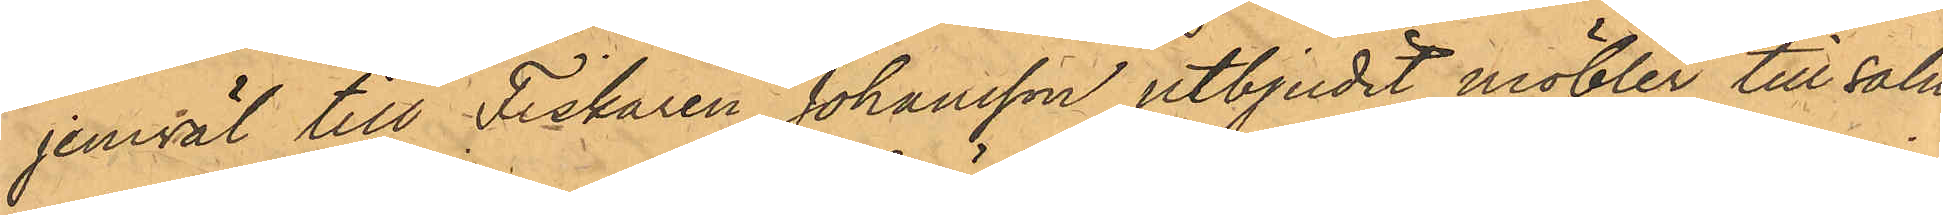jemväl till Fiskaren Johansson utbjudit möbler till salu,
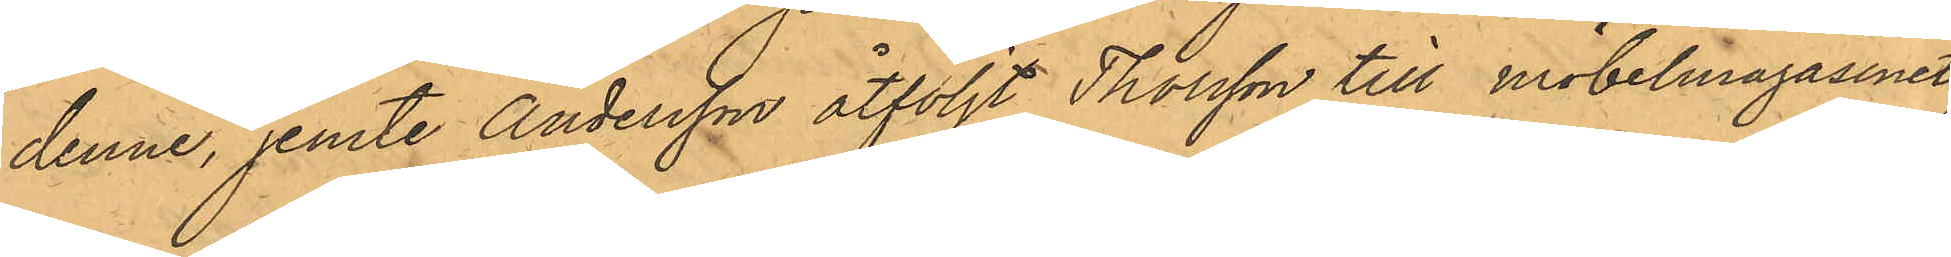denne, jemte Andersson åtföljt Thorsson till möbelmagasinet,
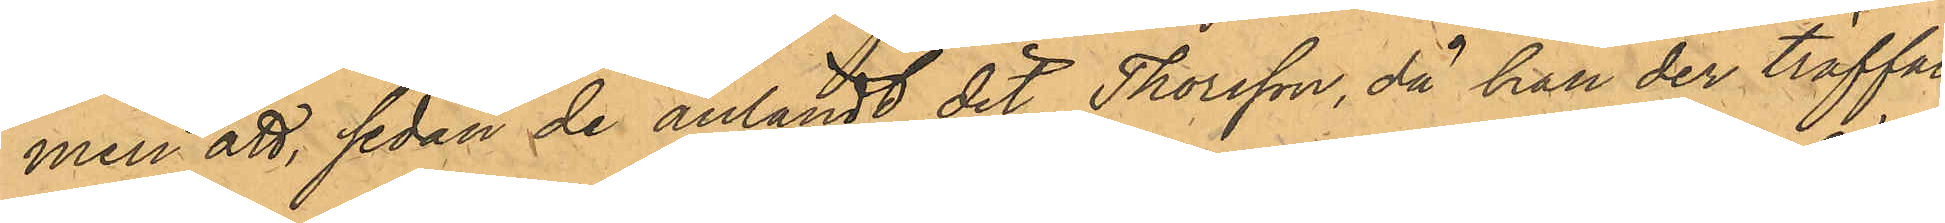men att, sedan de anländt dit, Thorsson, då han der träffat
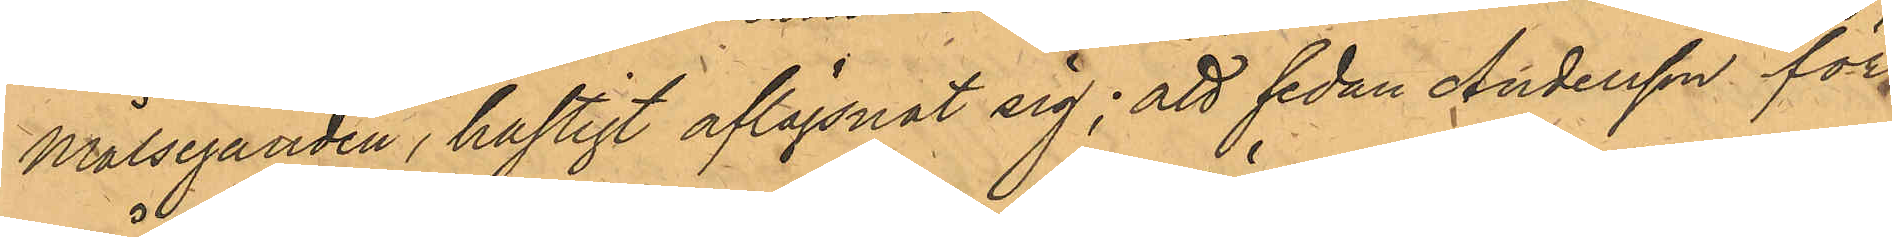Målseganden, hastigt aflägsnat sig; att sedan Andersson för
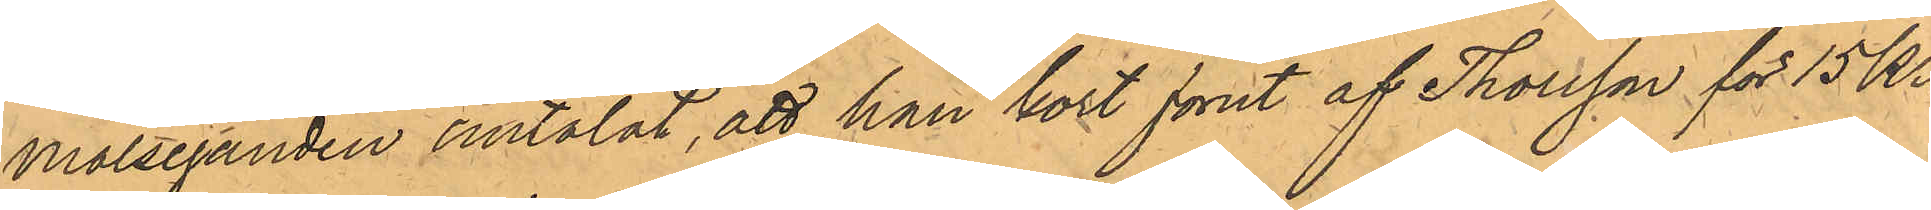Målseganden omtalat, att han kort förut af Thorsson för 15 kr
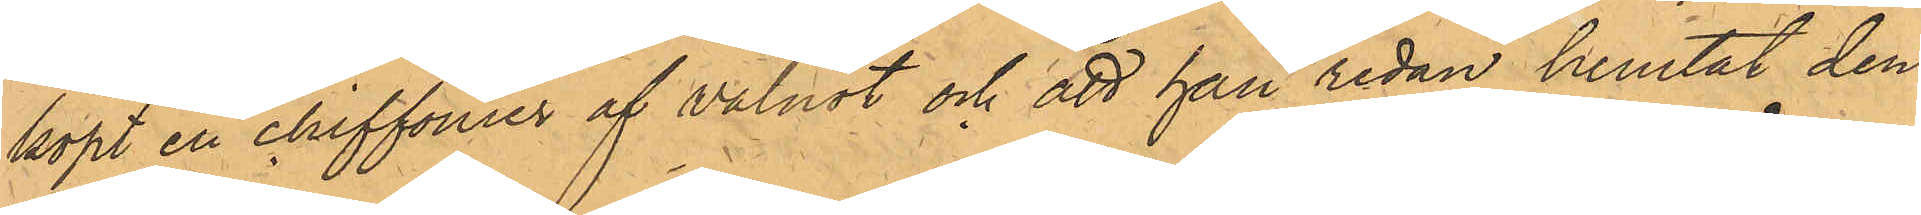köpt en chiffonier af valnöt och att han redan hemtat den
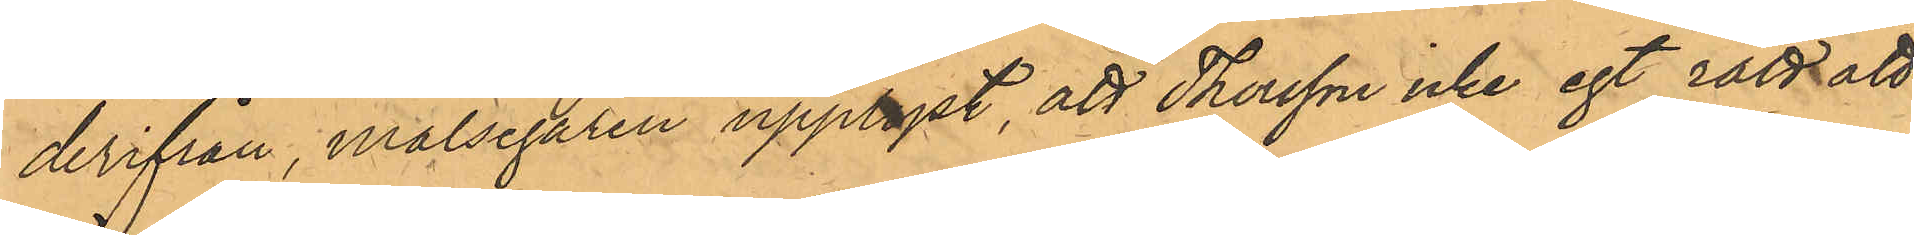derifrån, målsegaren upplyst, att Thorsson icke egt rätt att
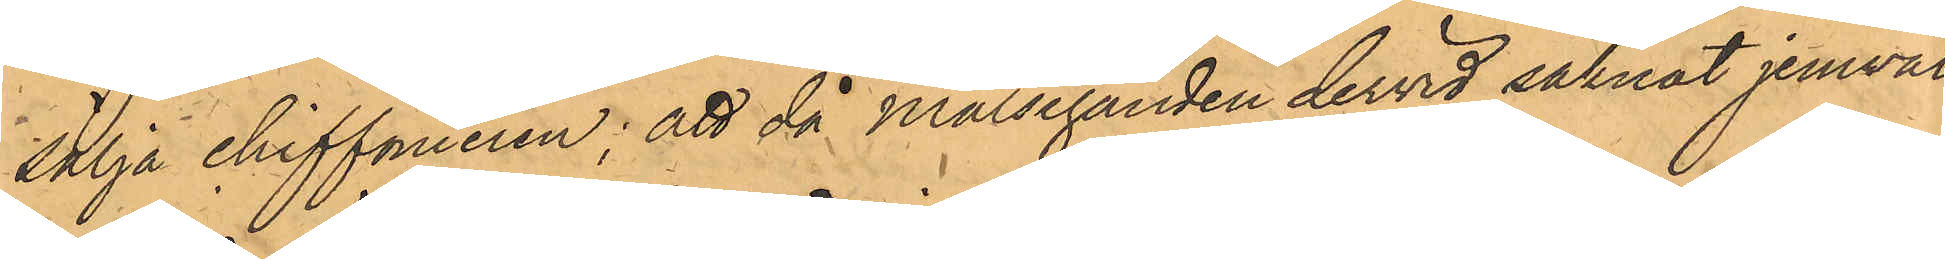sälja chiffonieren; att då Målseganden dervid saknat jemväl
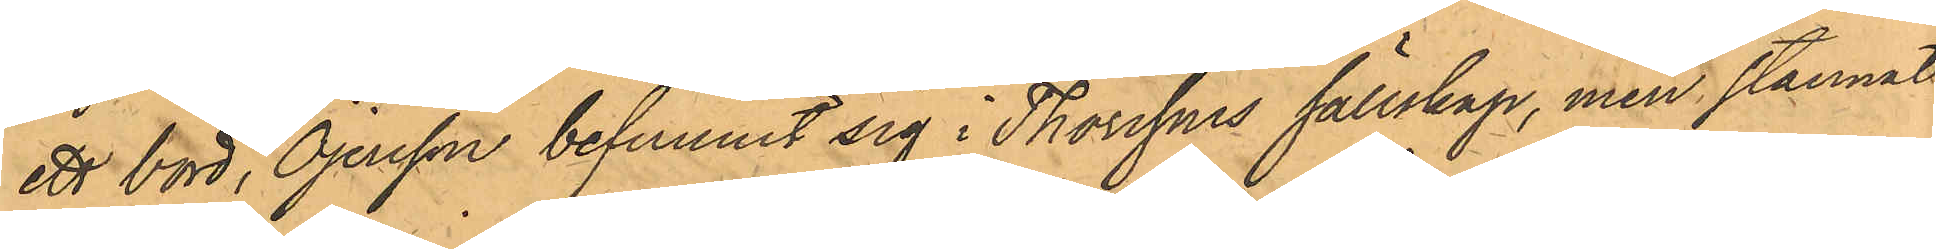ett bord, Öjersson befunnit sig i Thorssons sällskap, men stannat
